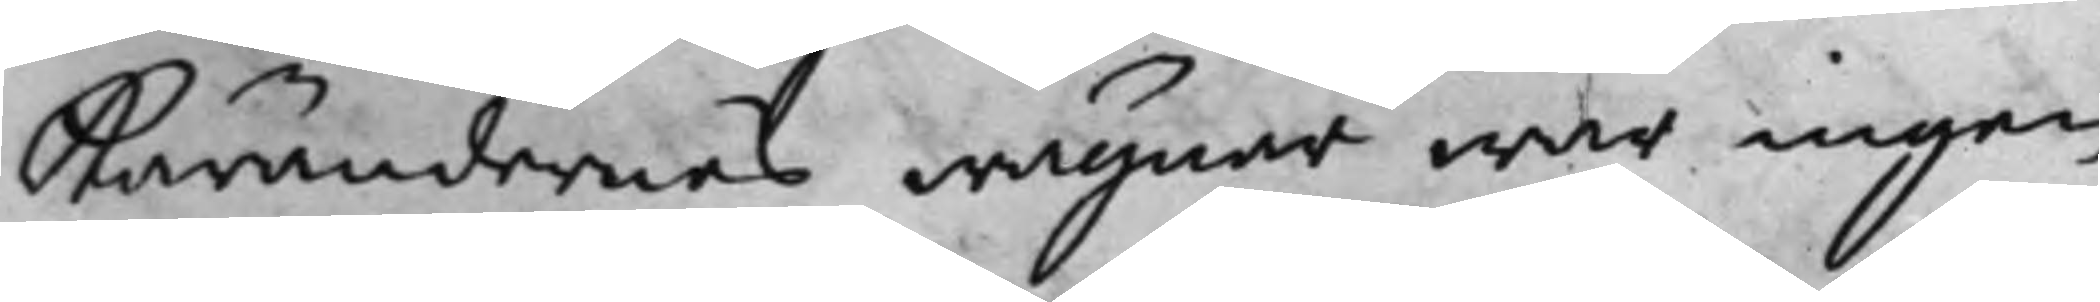Kärandernes wägnar war ingen
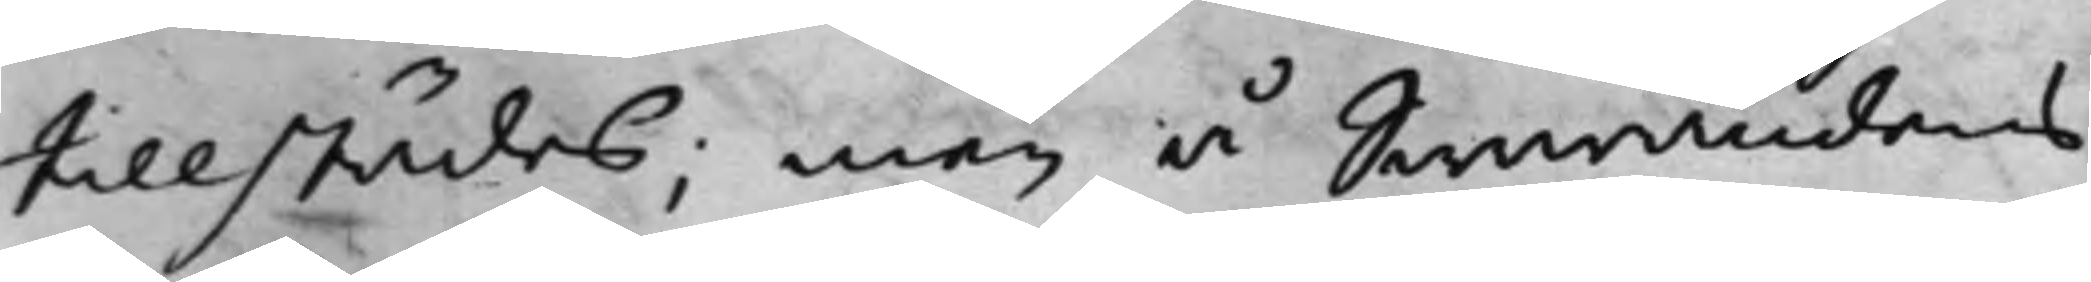tillstädes, men å Swarandens
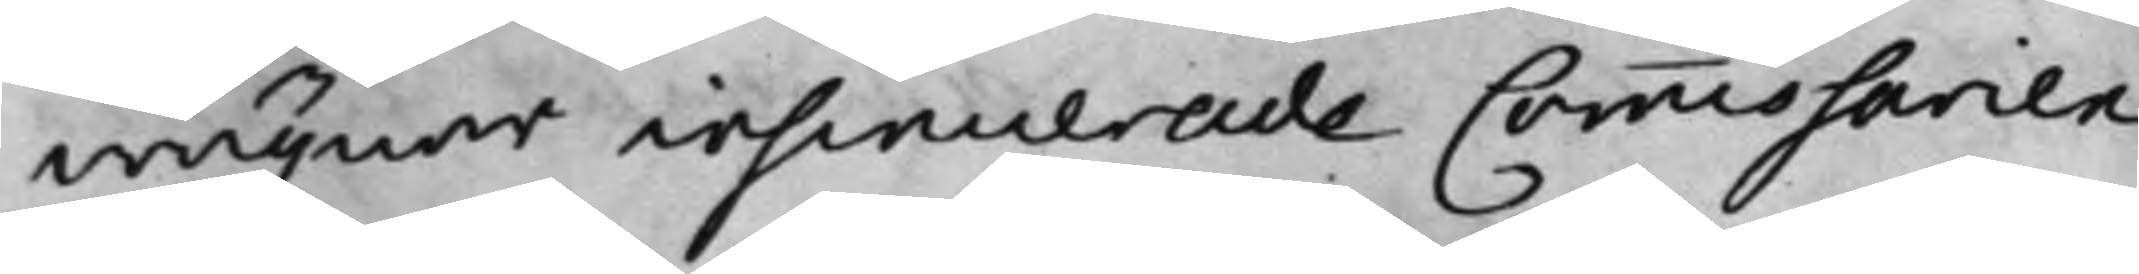wägnar insinuerade Commissarien
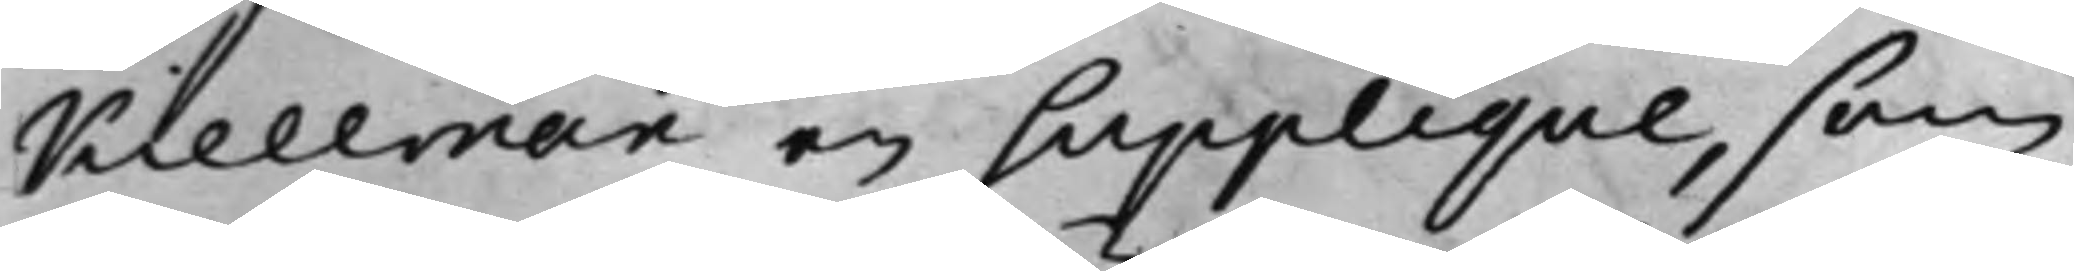Kiellman en Supplique, som
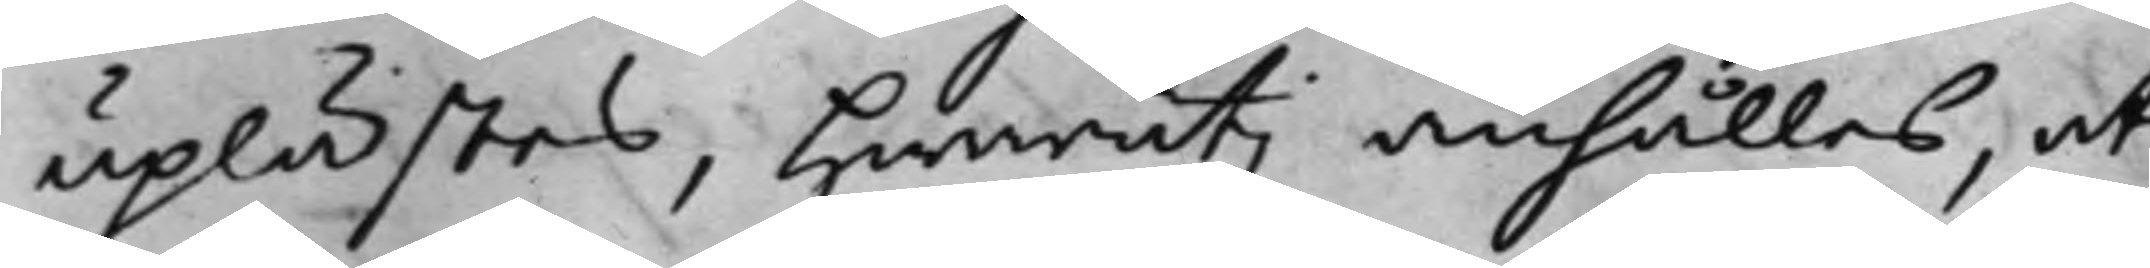uplästes, hwaruti anhålles, at
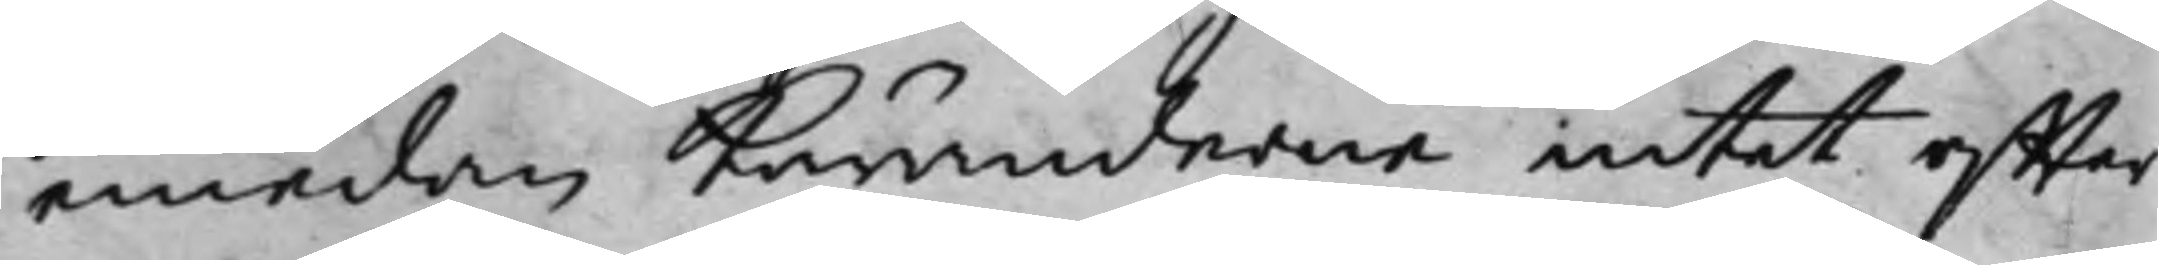emedan Käranderne intet effter
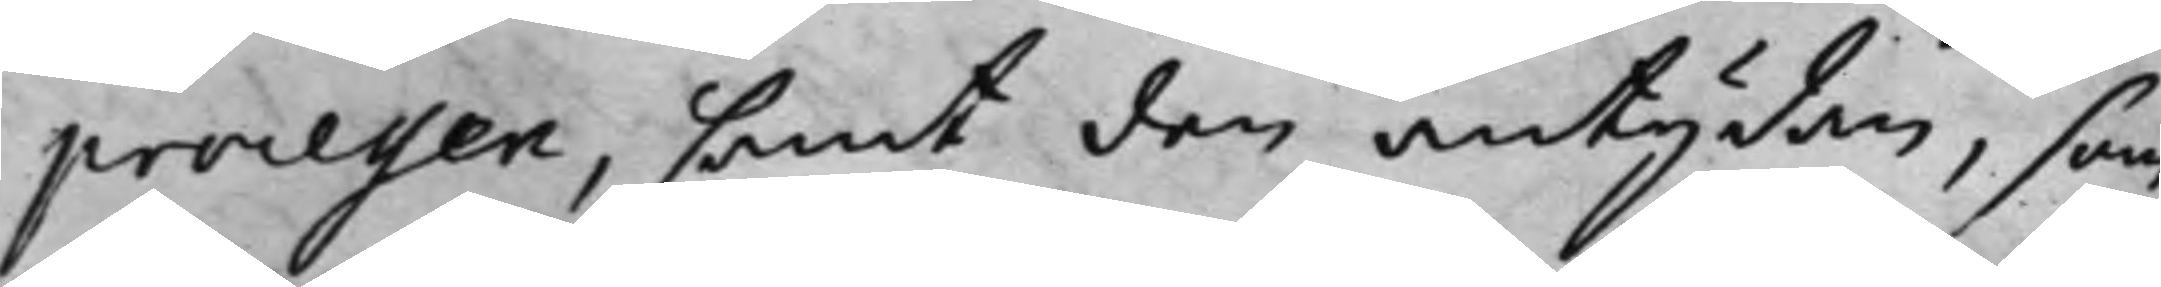processen, samt den antydan, som
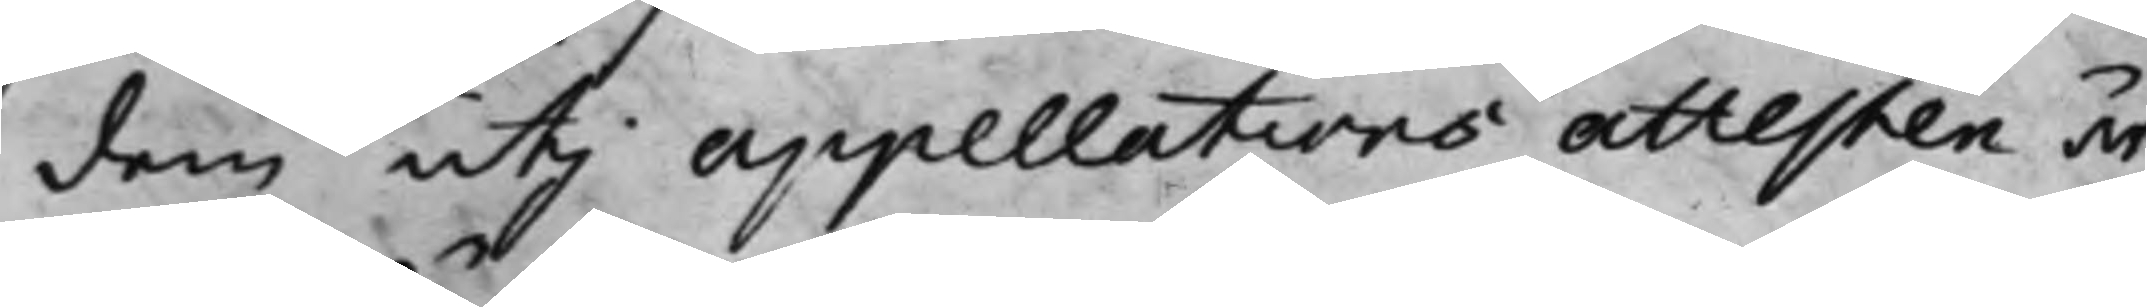dem uti appellations attesten är
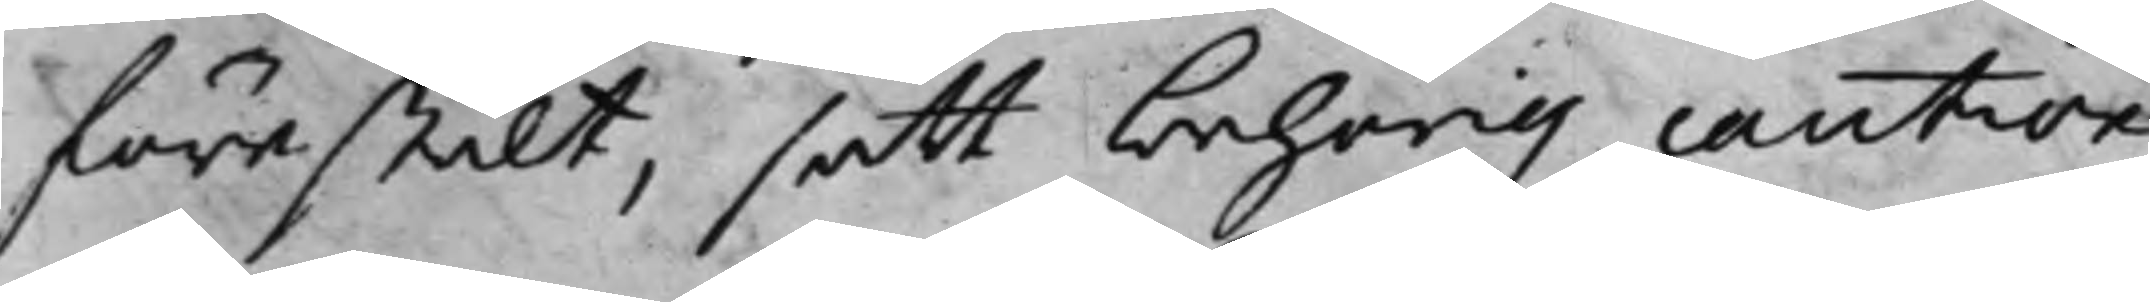förestält, satt behörig caution
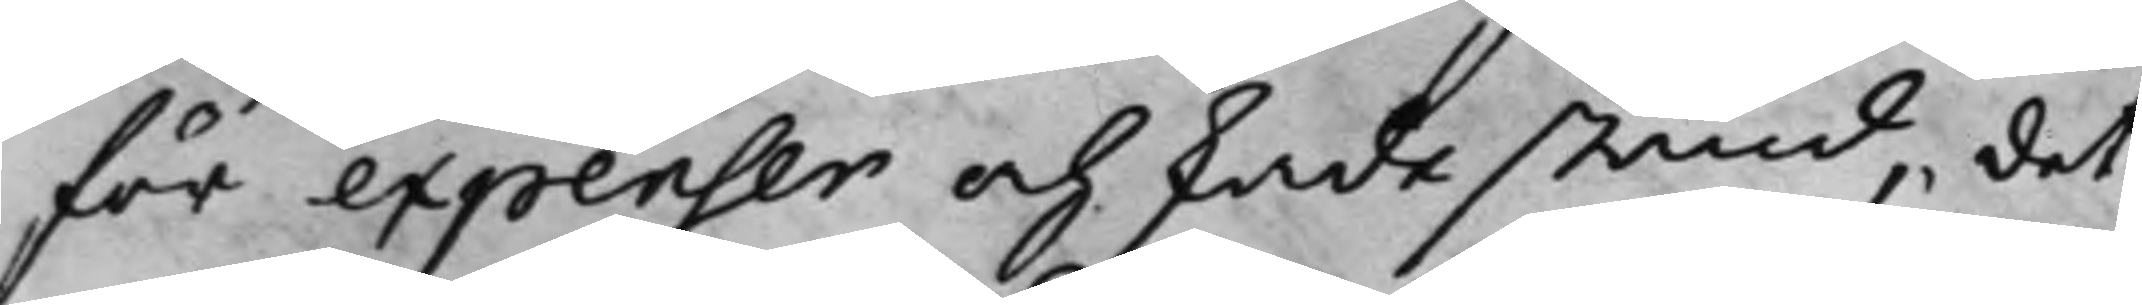för expenser och skadestånd, det
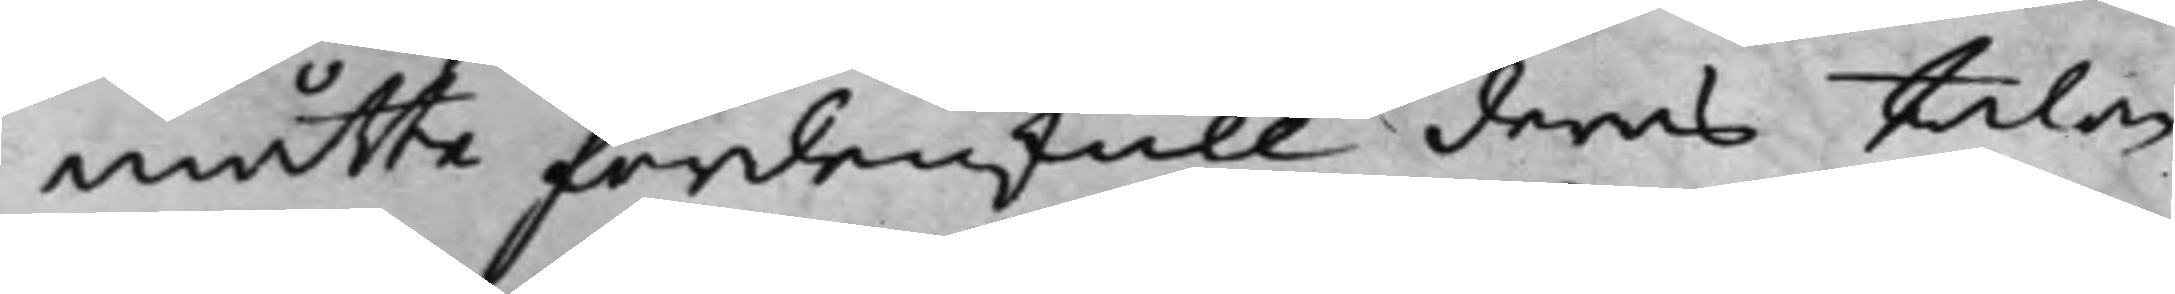måtte fördenskull deras talan
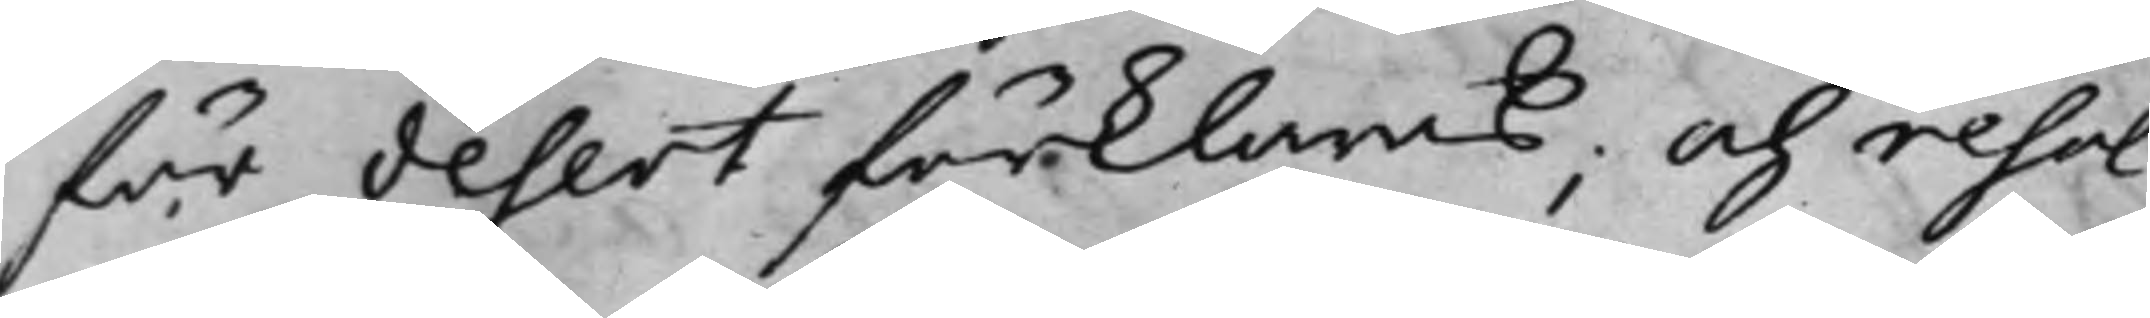för desert förklaras; Och resol¬
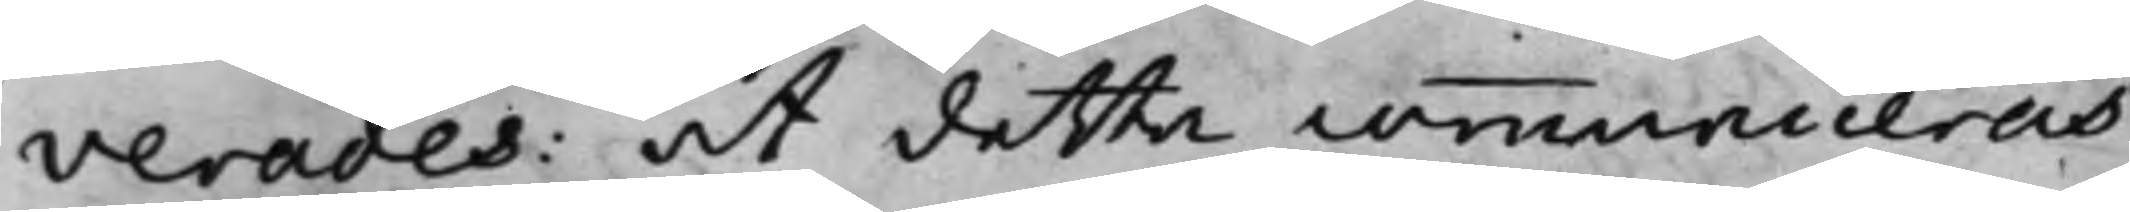verades at detta communiceras
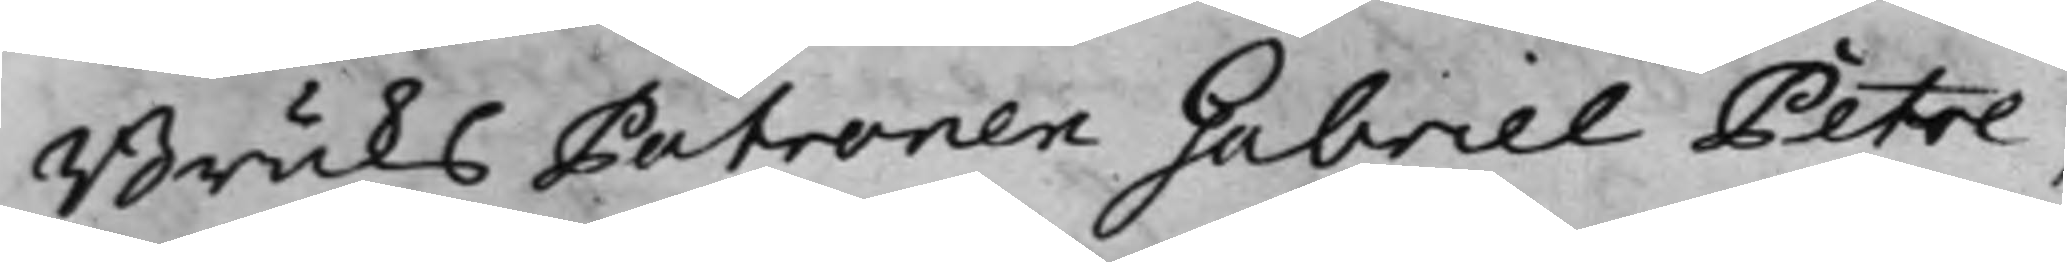BruksPatronen Gabriel Petre,
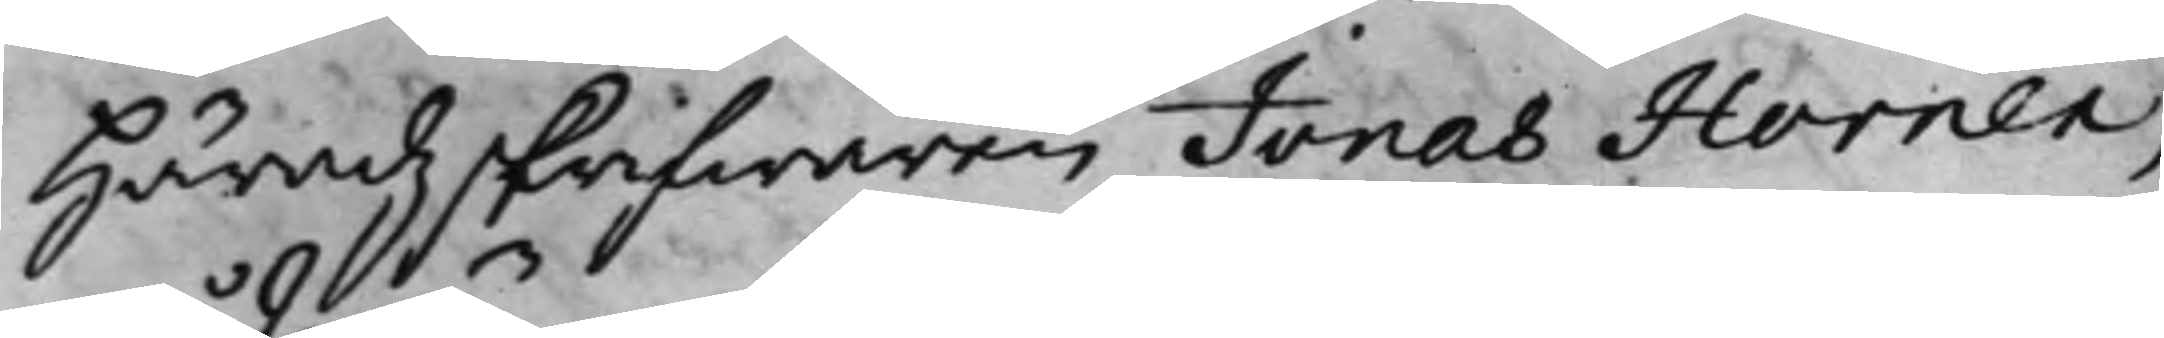Häradzskrifwaren Jonas Horner,
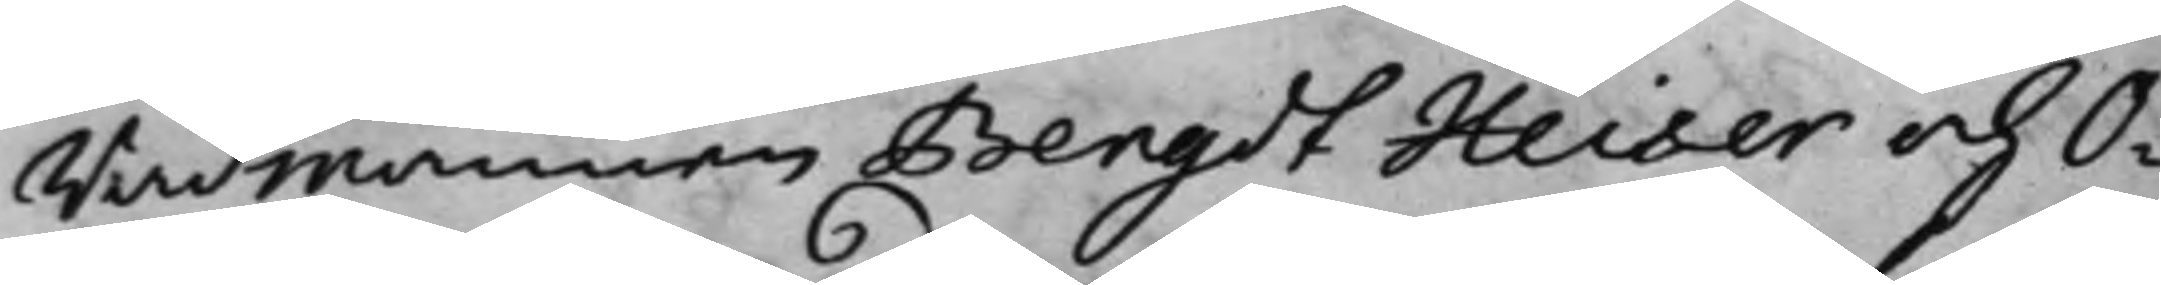rådmannen Bengdt Heiser och O¬
